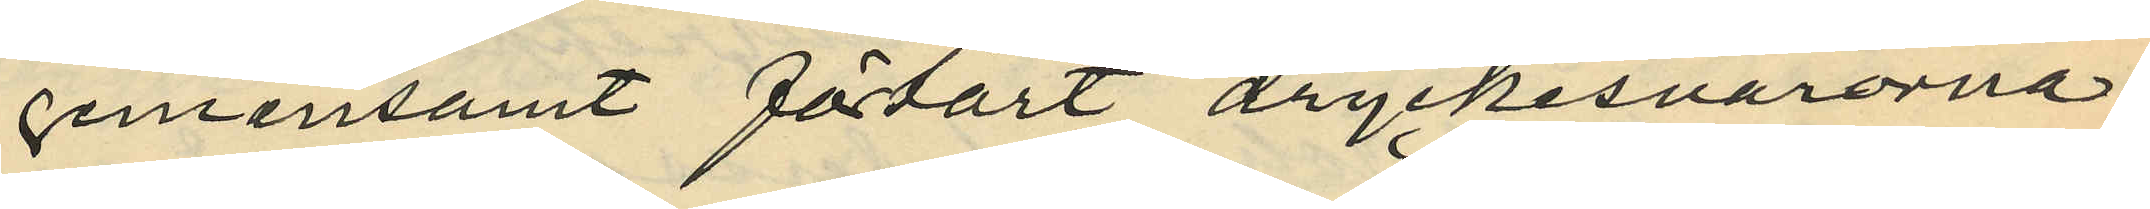gemansamt förtärt dryckesvarorna.
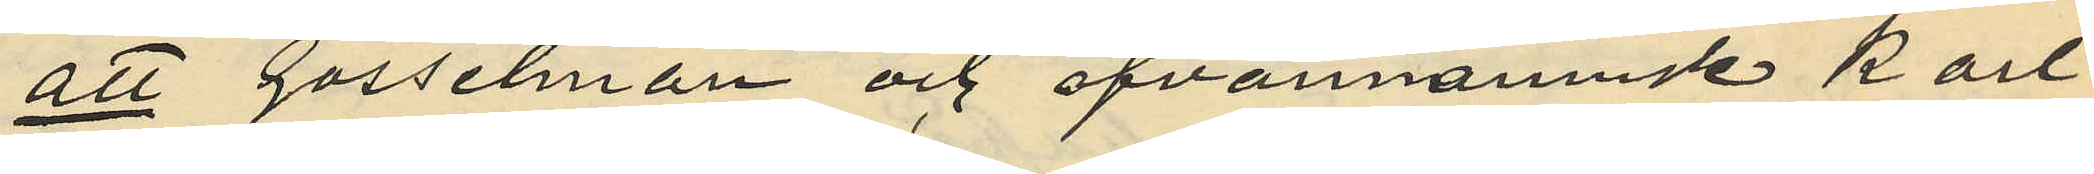att Gosselman och ofvannämne Karl
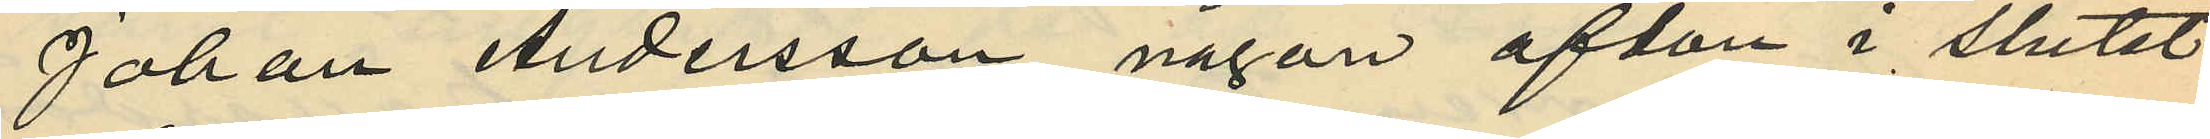Johan Andersson någon afton i slutet
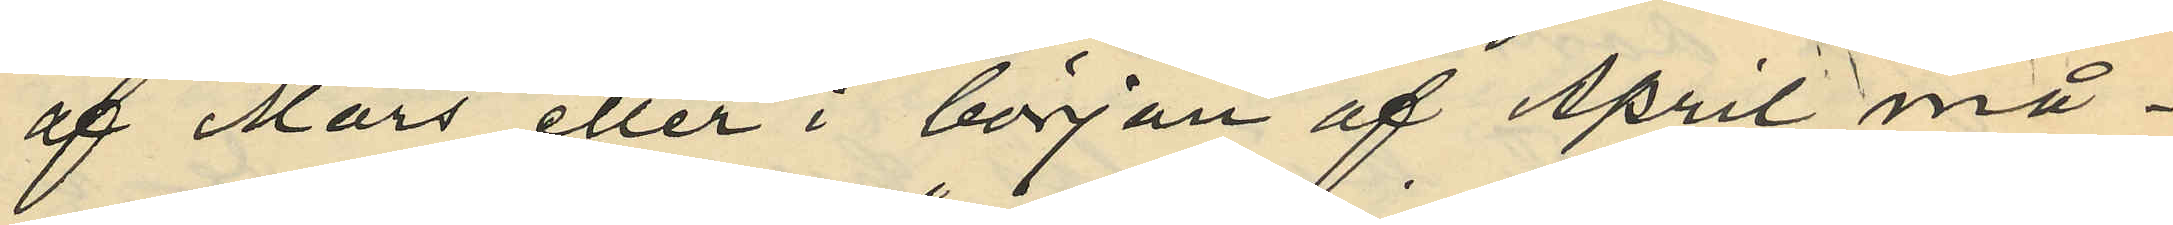af Mars eller i början af April må¬
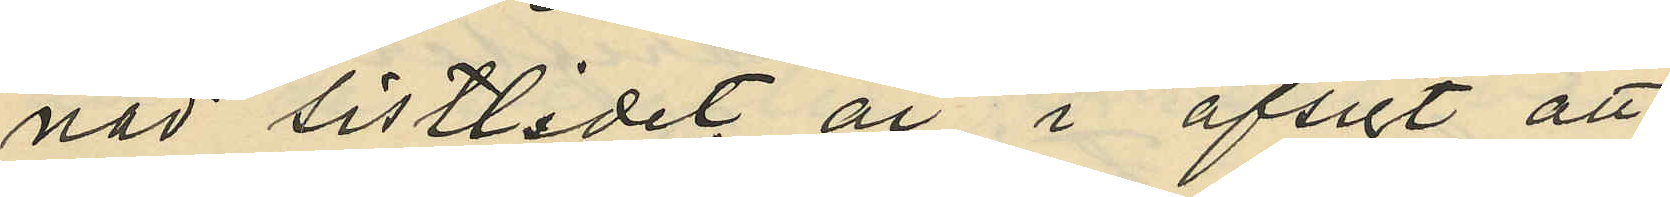nad sistlidet år i afsigt att
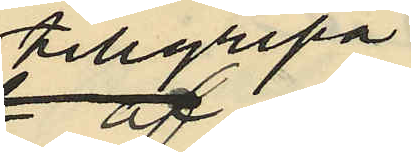tillgripa.
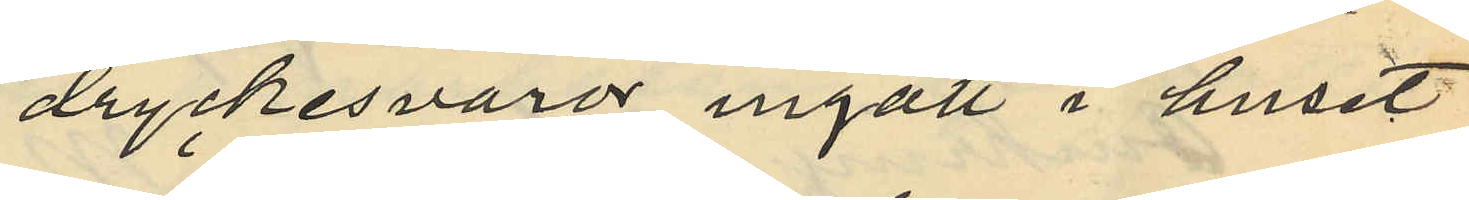dryckesvaror ingått i huset
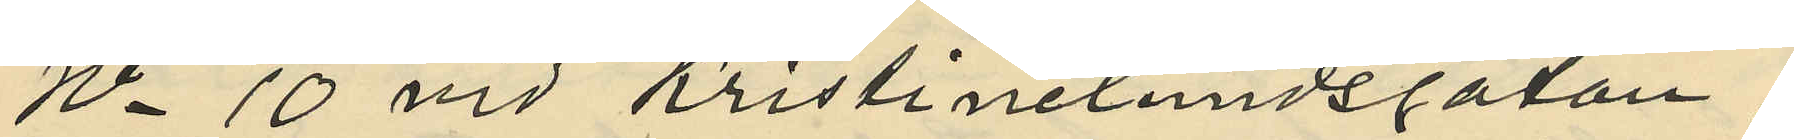No 10 vid Kristinelundsgatan;
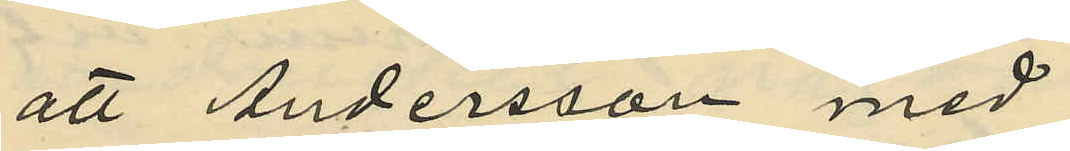att Andersson med
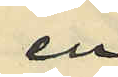en
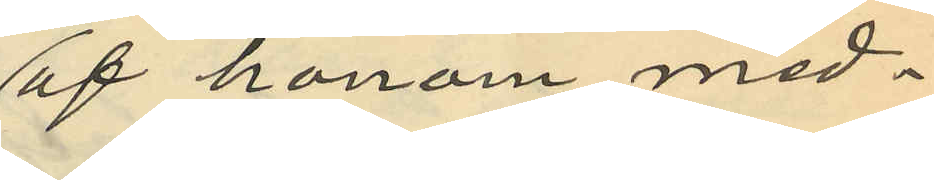af honom med¬
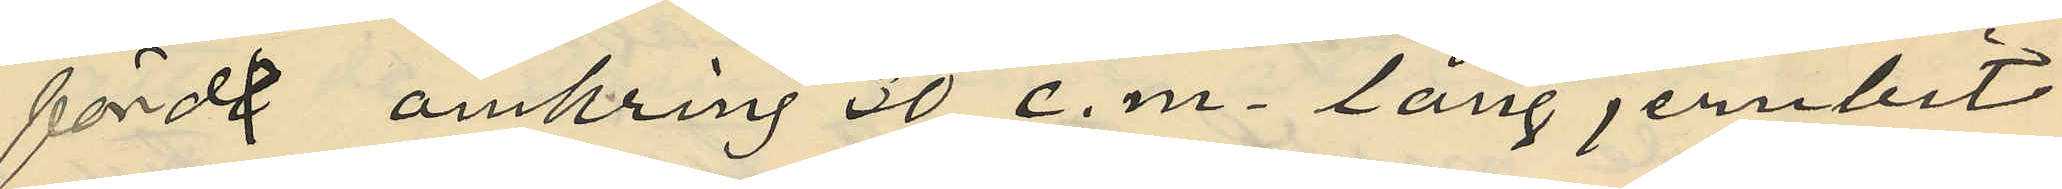fördt omkring 30 c.m. lång jernbit
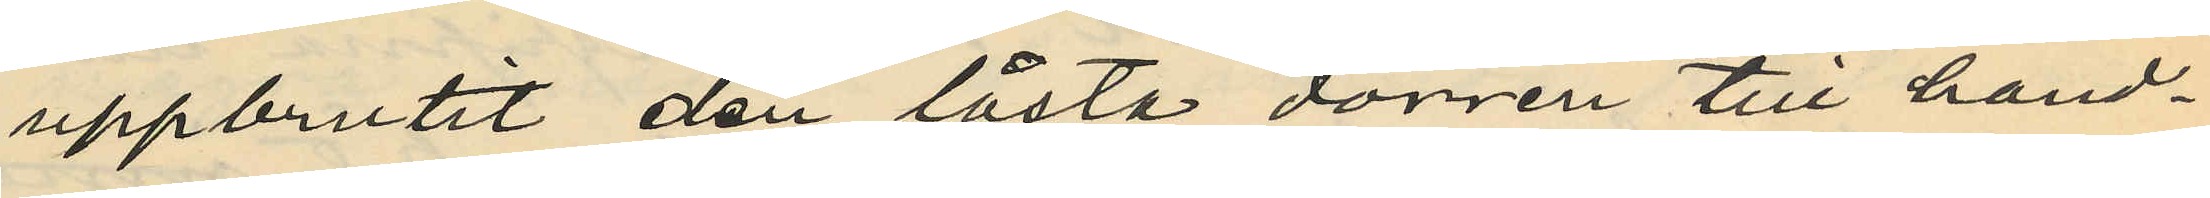uppbrutit den låsta dörren till hand¬
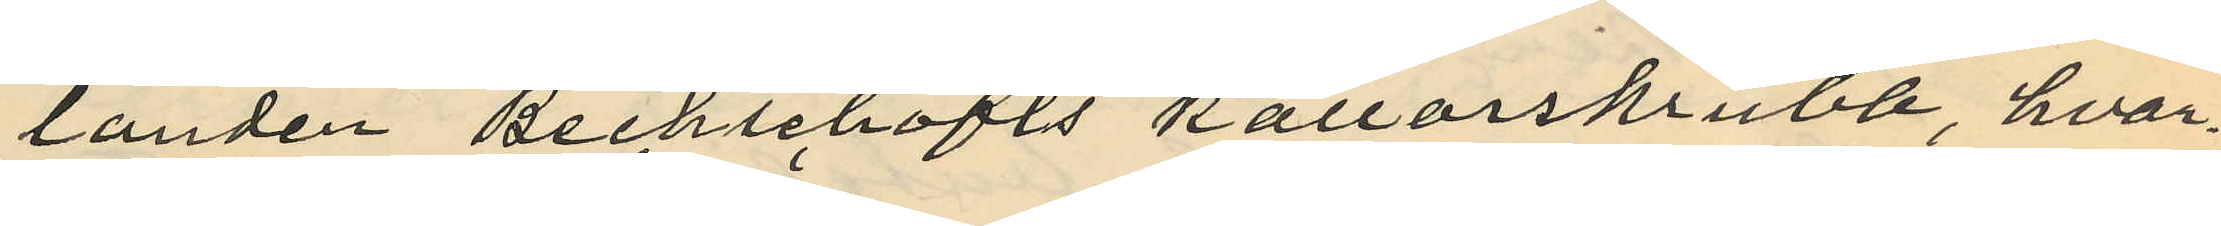landen Bechschäfts källarskrubb, hvar¬
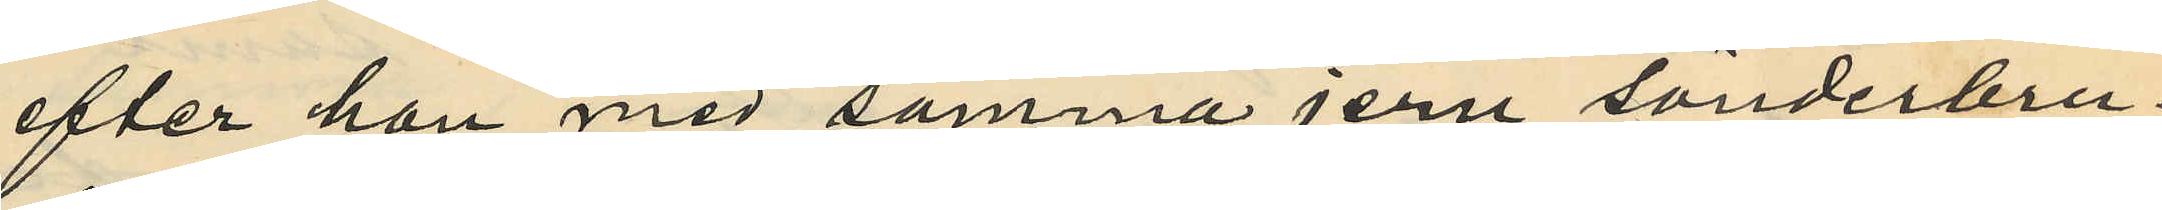efter han med samma jern sönderbru¬
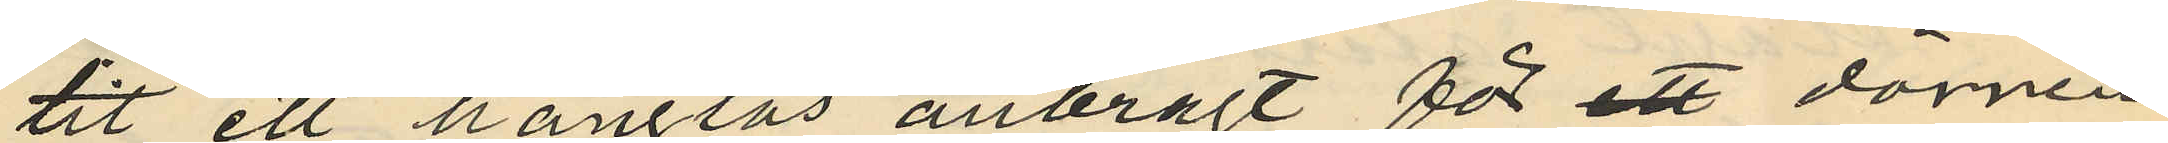tit ett hänglås anbragt för ett dörren
